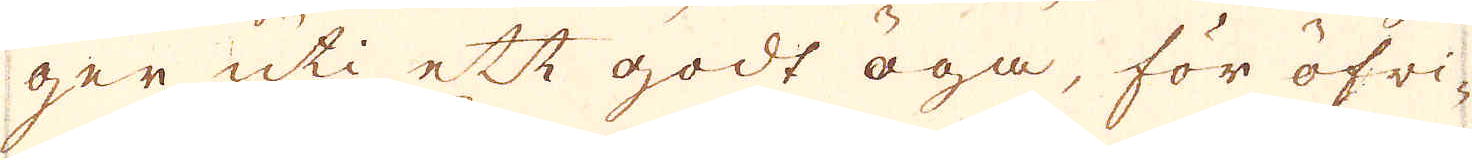ger uti ett godt öga, för öfri-
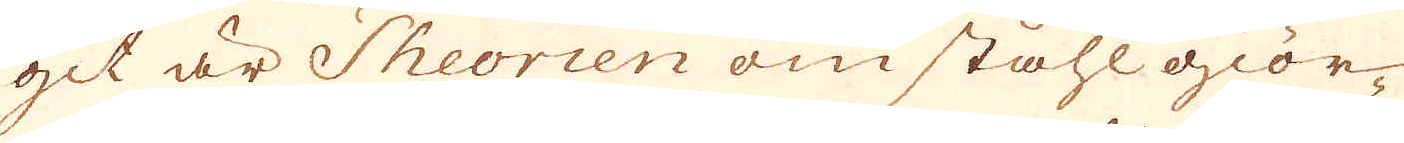git är Theorien om ståhl giör-
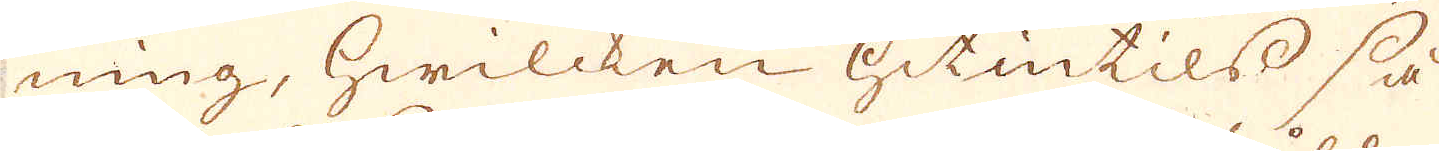ning, hwilcken hitintils så
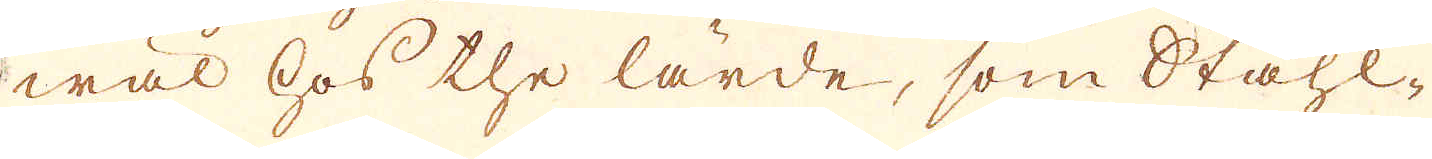wäl hos the lärde, som Ståhl-
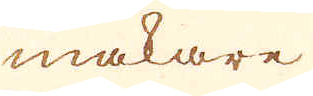makare
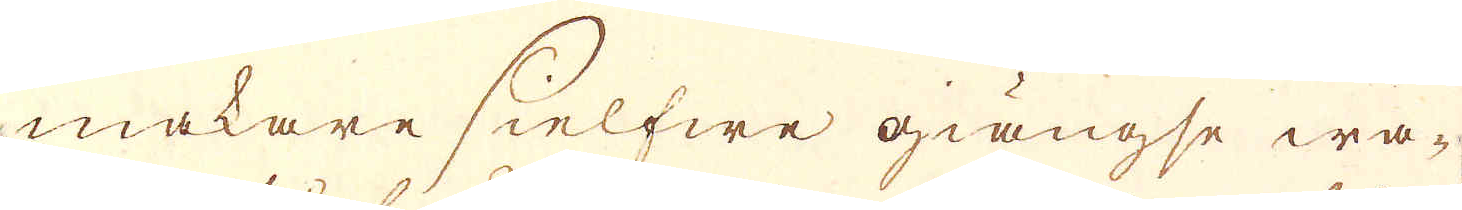makare sielfwe giängse wa-
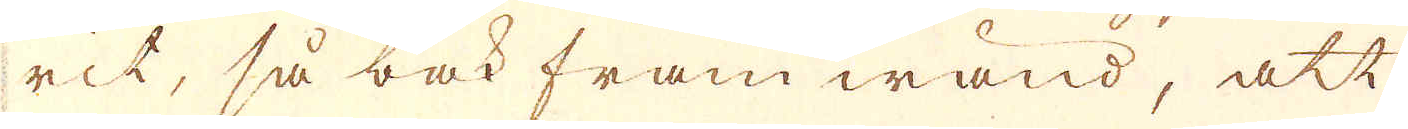rit, så bak fram wänd, att
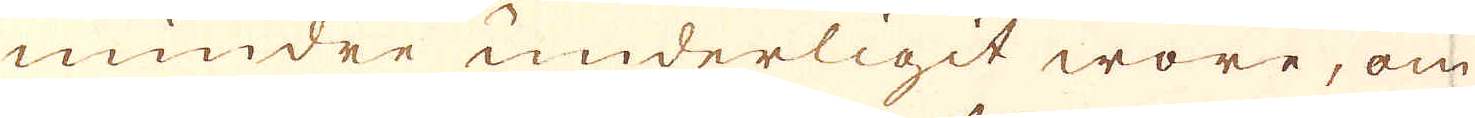mindre underligit wore, om
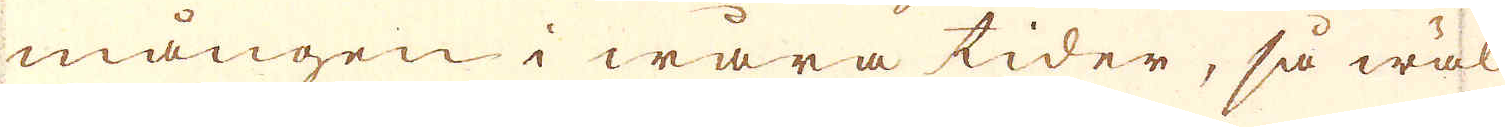mången i wåra tider, så wäl
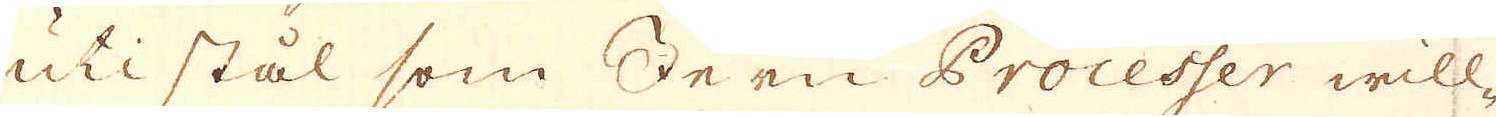uti stål som Jern Processer will-
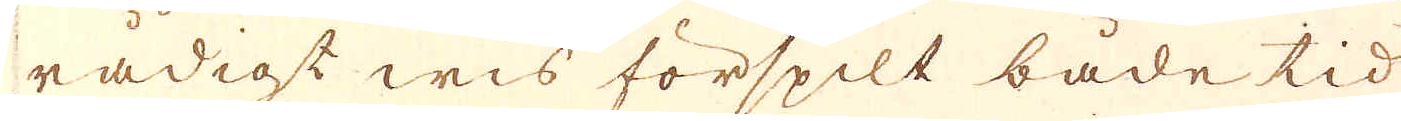rådigt wis förspilt både tid
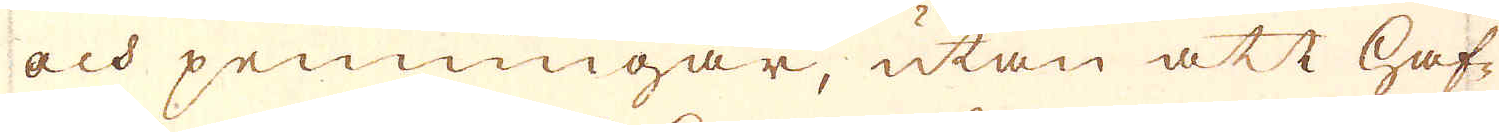och penningar, utan att haf-
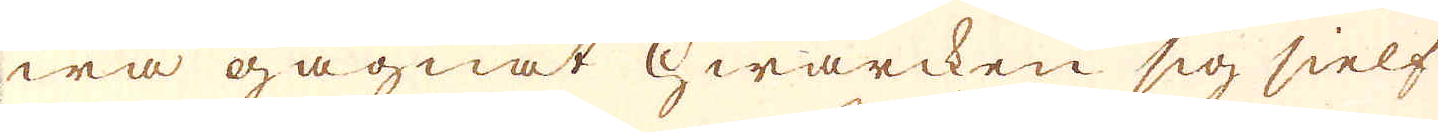wa gagnat Hwarcken sig sielf
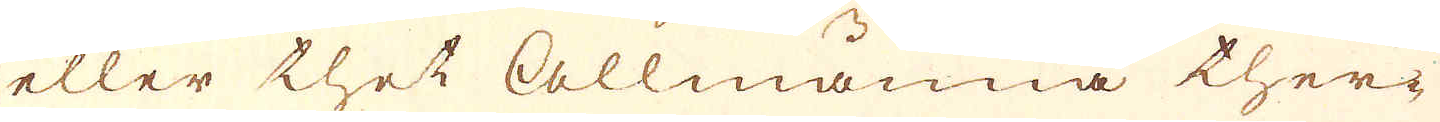eller thet Allmänna ther-
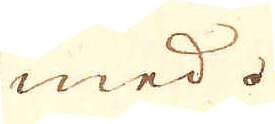med.
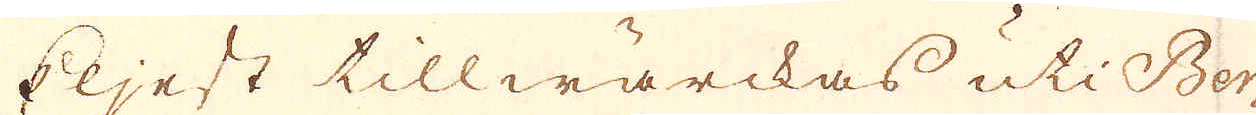Eljest tillwärckas uti Ber-
